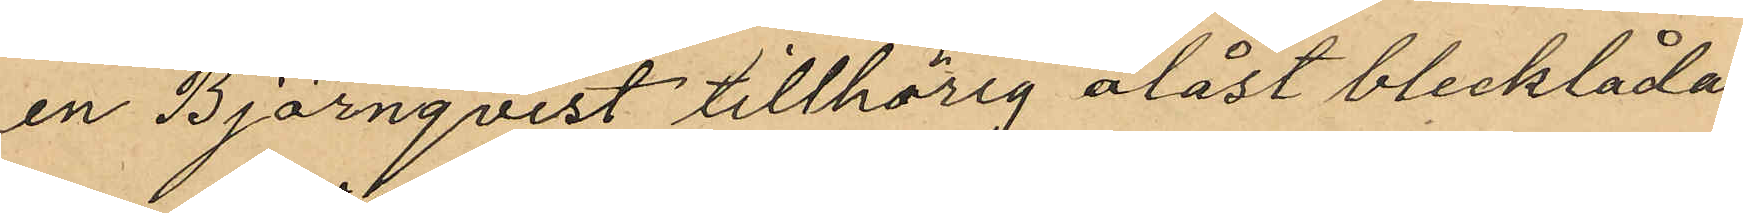en Björnqvist tillhörig olåst blecklåda
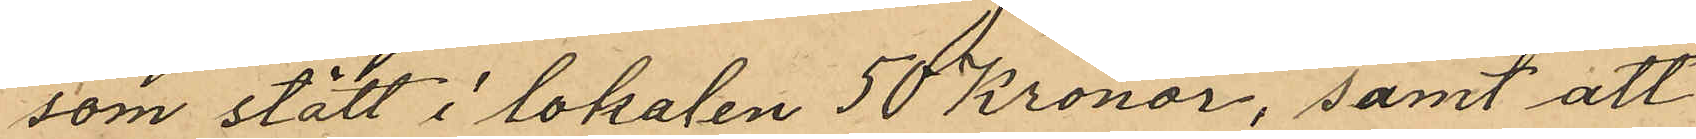som stått i lokalen 50 Kronor, samt att
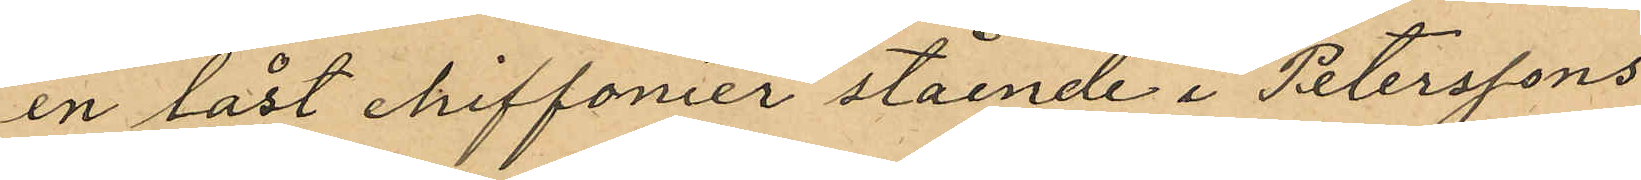en låst chiffonier stående i Peterssons
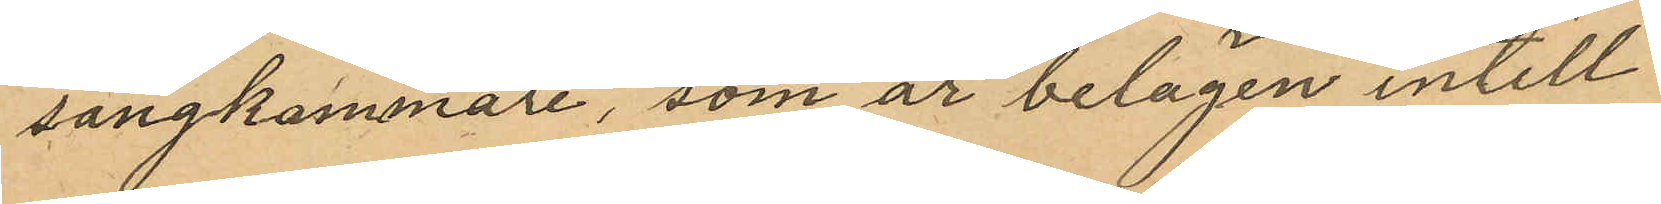sängkammare, som är belägen intill
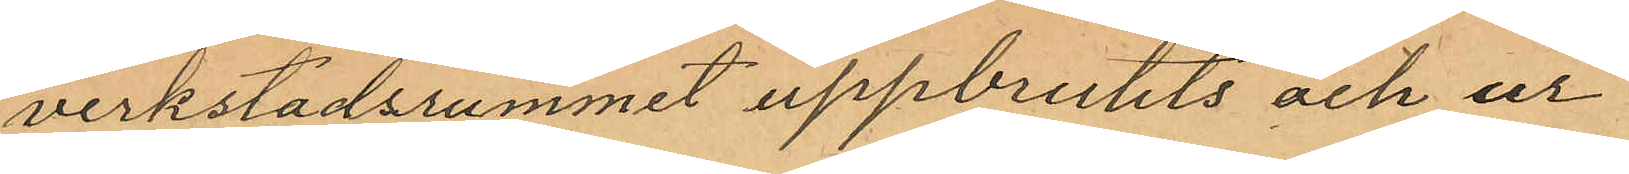verkstadsrummet uppbrutits och ur
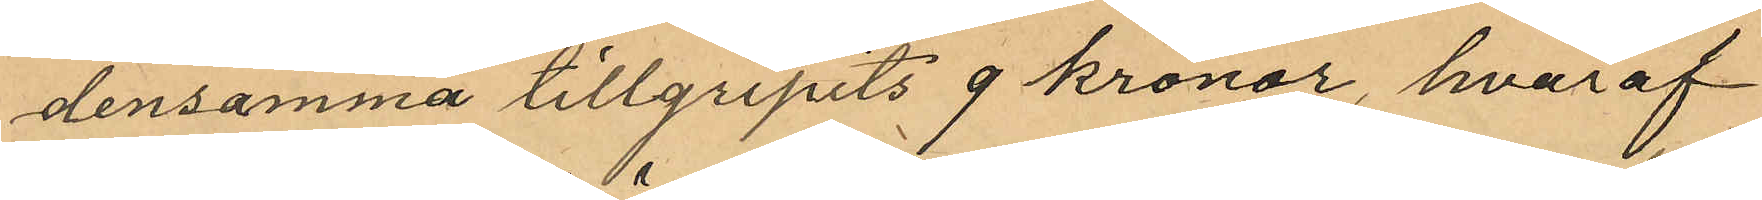densamma tillgripits 9 kronor, hvaraf
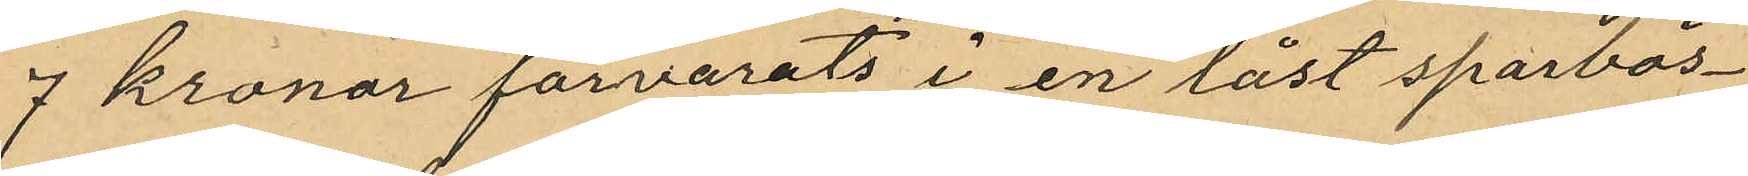7 kronor förvarats i en låst sparbös¬
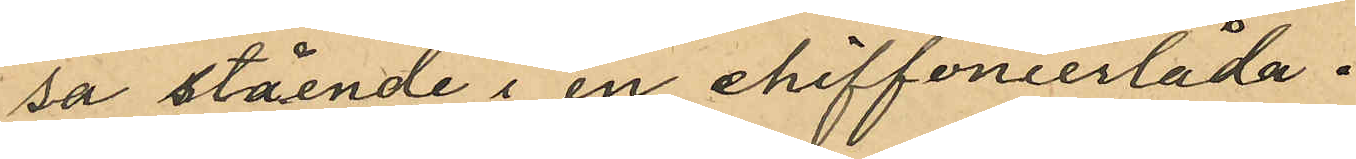sa stående i en chiffonierlåda.
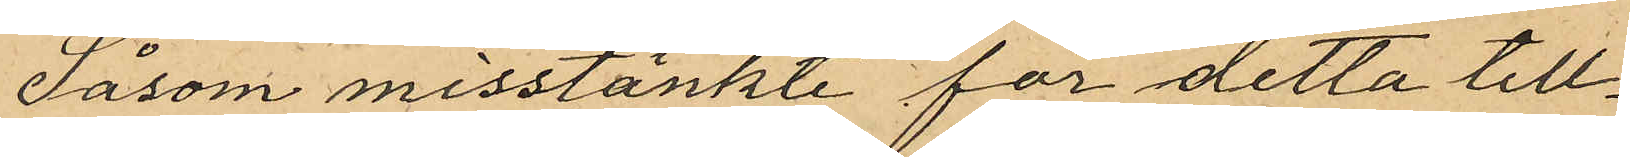Såsom misstänkte för detta till¬
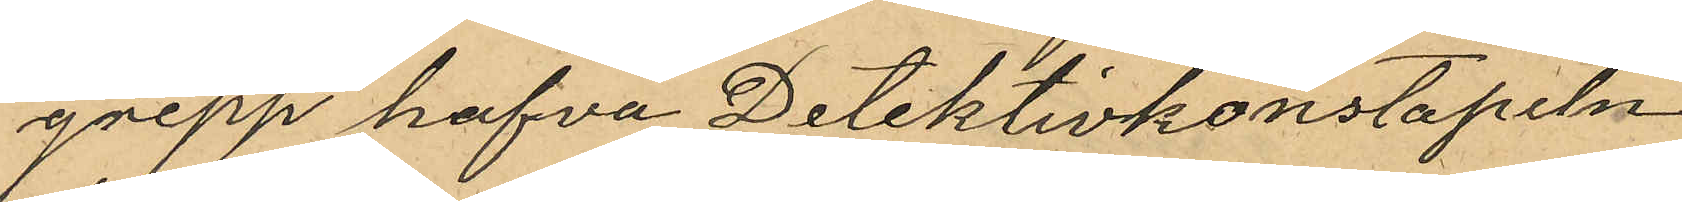grepp hafva Detektivkonstapeln
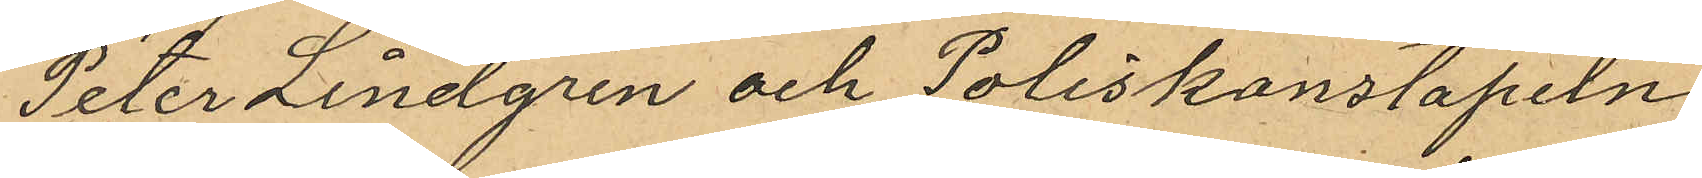Peter Lindgren och Poliskonstapeln
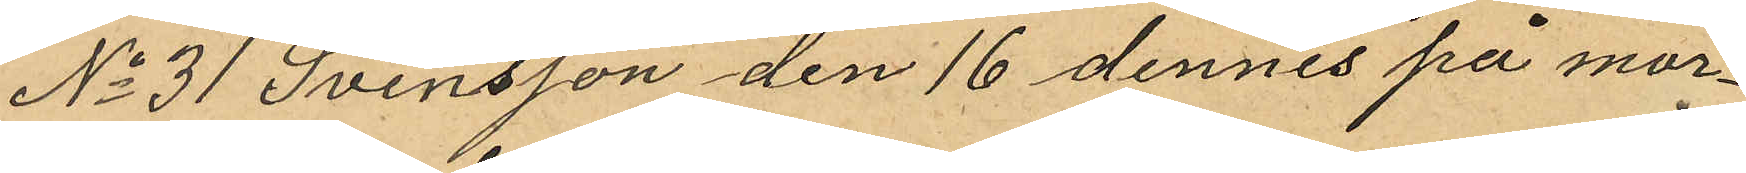No 31 Svensson den 16 dennes på mor¬
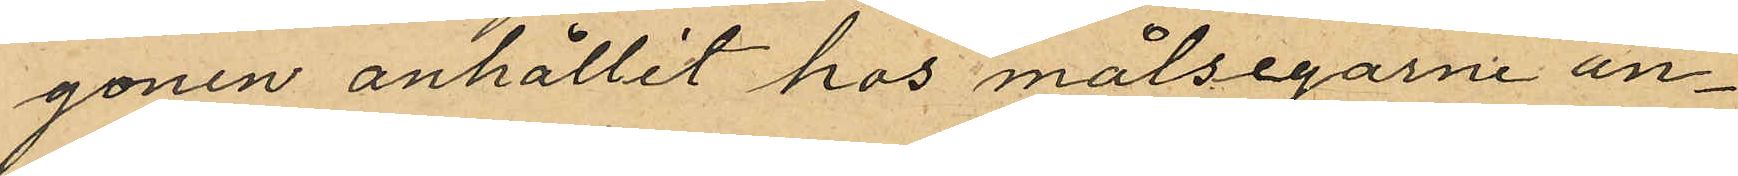gonen anhållit hos målsegarne an¬
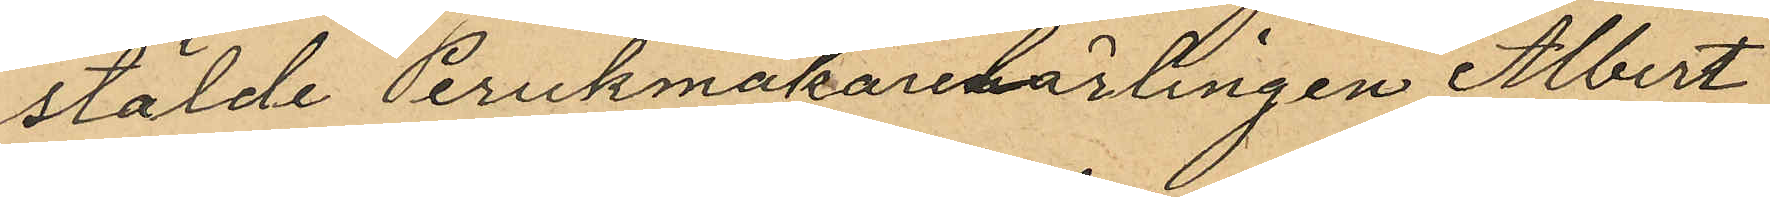stälde Perukmakarelärlingen Albert
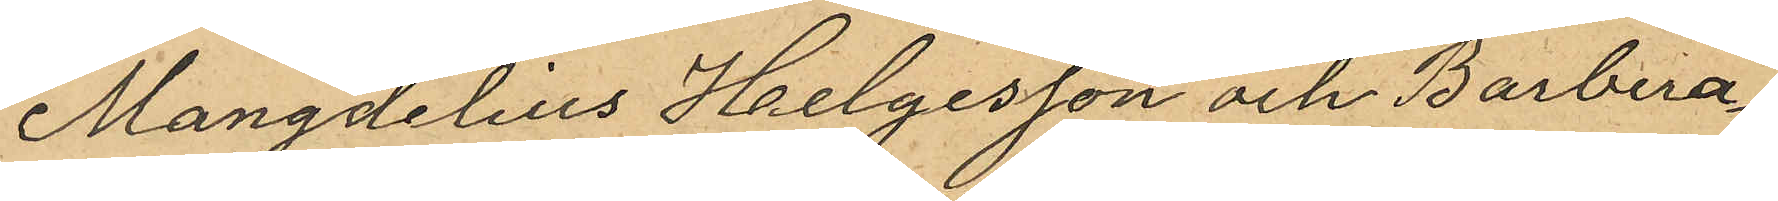Mangdelius Helgesson och Barbera¬
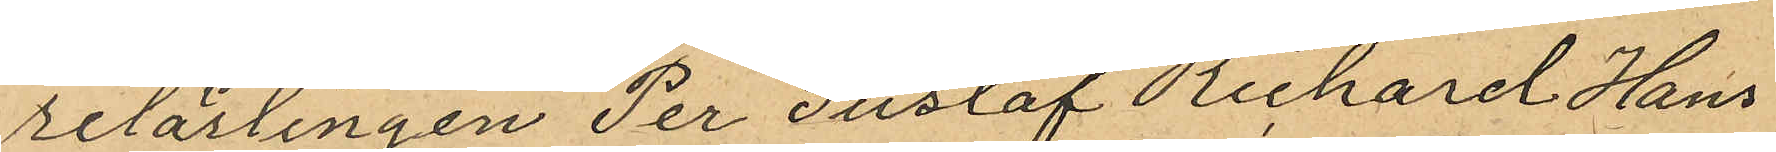relärlingen Per Gustaf Richard Hans¬
